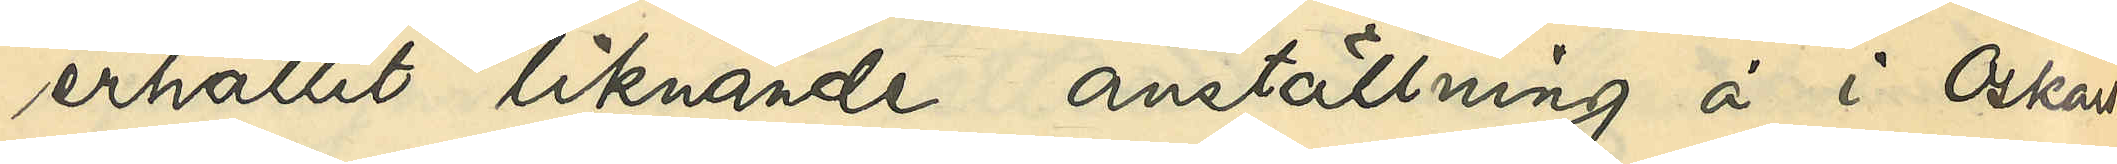erhållit liknande anställning å i Oskars¬
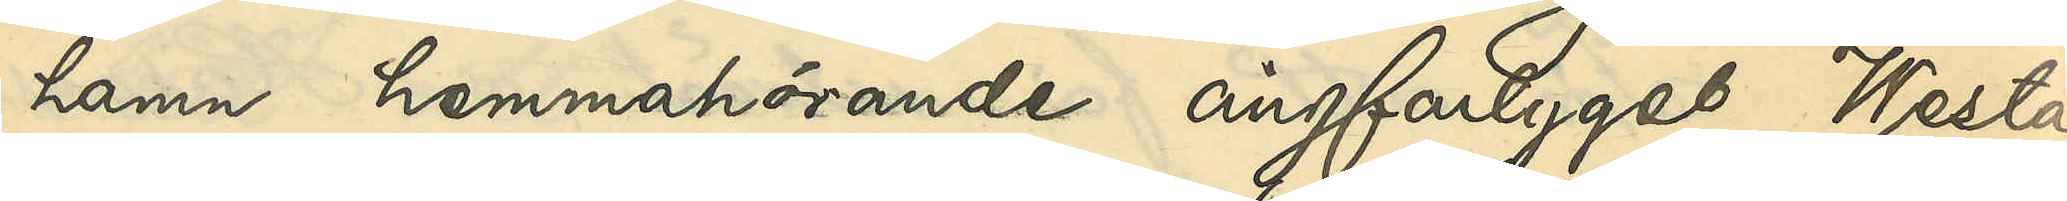hamn hemmahörande ångfartyget "Westa",
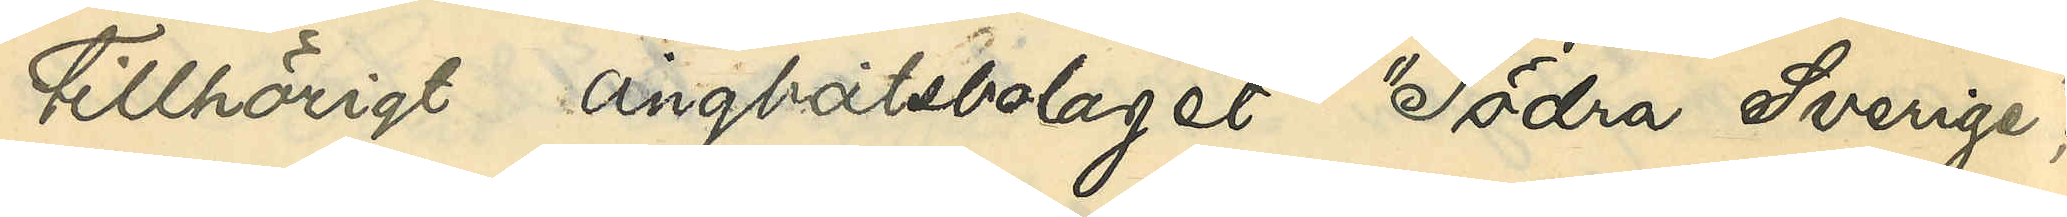tillhörigt ångbåtsbolaget  "Södra Sverige";
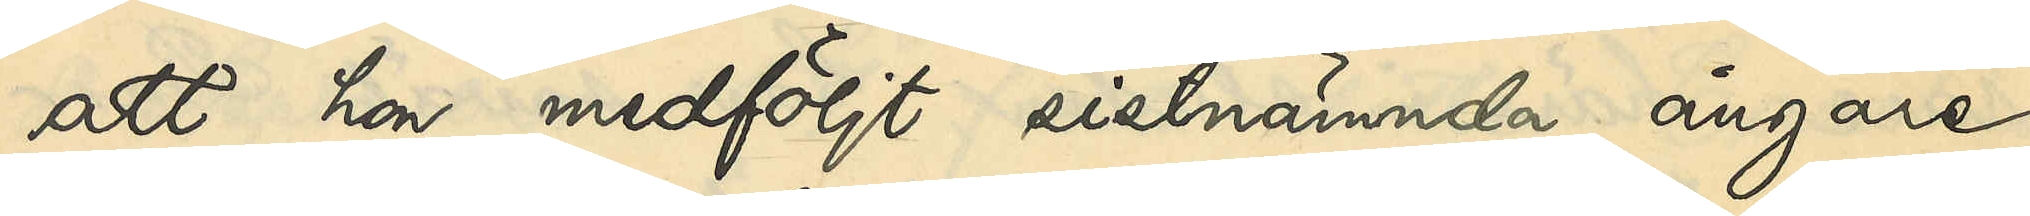att hon medföljt sistnämnda ångare
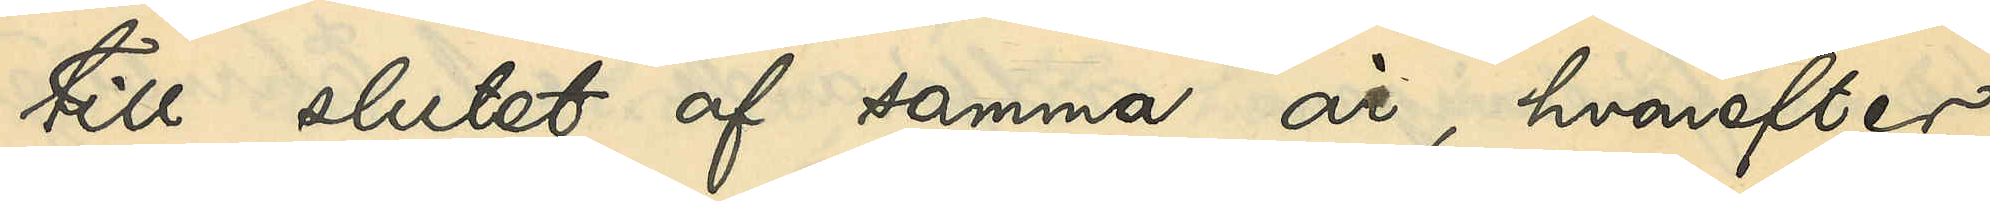till slutet af samma år, hvarefter
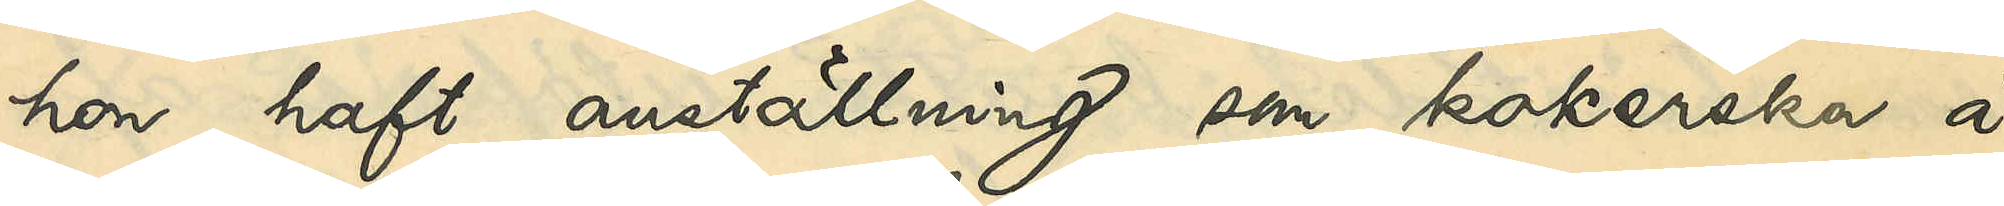hon haft anställning som kokerska å
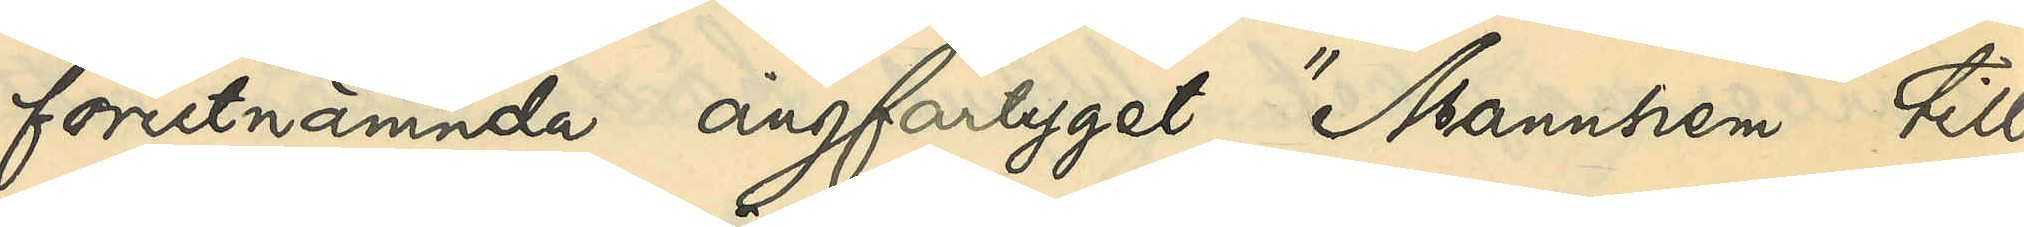förutnämnda ångfartyget "Mannhem" till
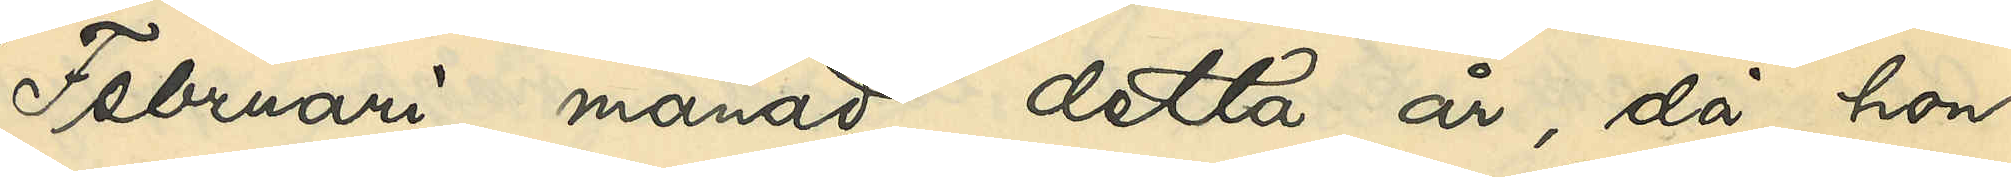Februari månad detta år, då hon
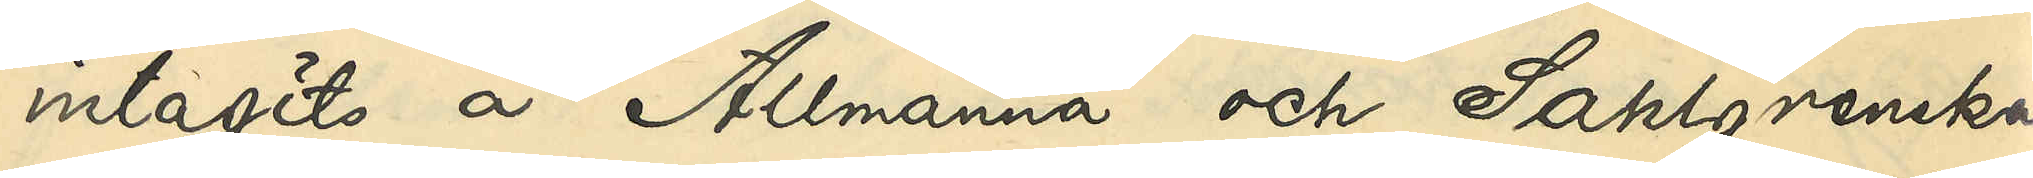intagits å Allmänna och Sahlgrenska
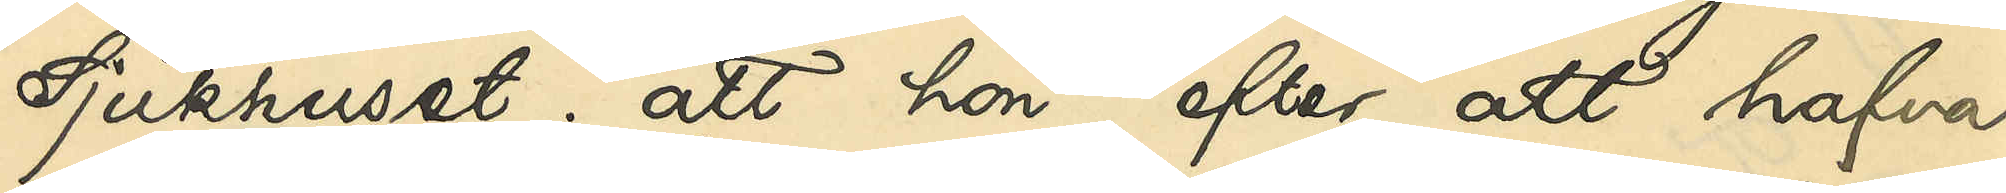Sjukhuset; att hon, efter att hafva
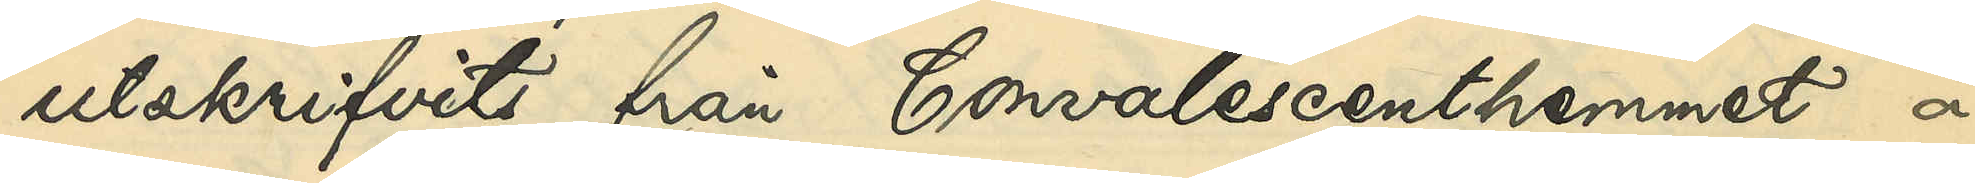utskrifvits från Convalescenthemmet å
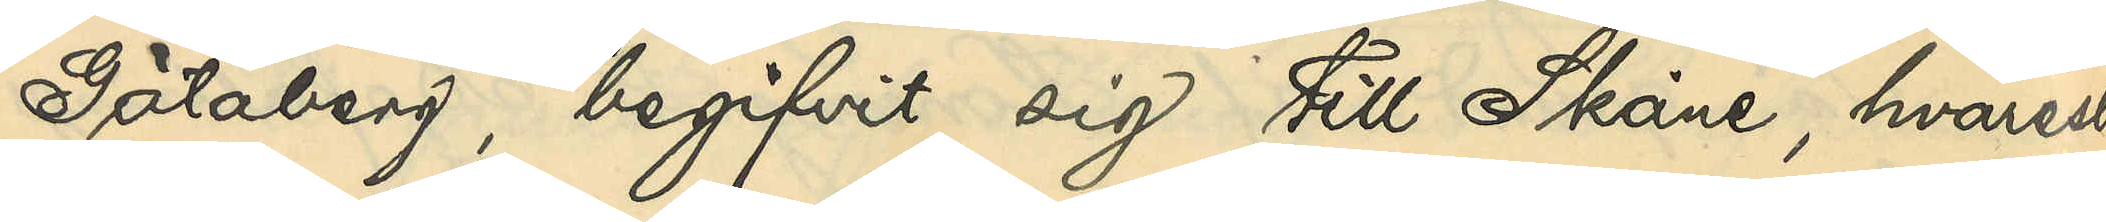Götaberg, begifvit sig till Skåne, hvarest
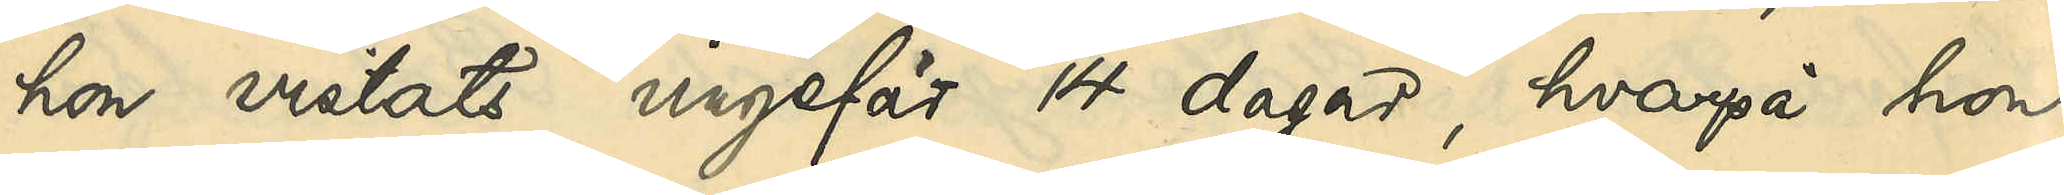hon vistats ungefär 14 dagar, hvarpå hon
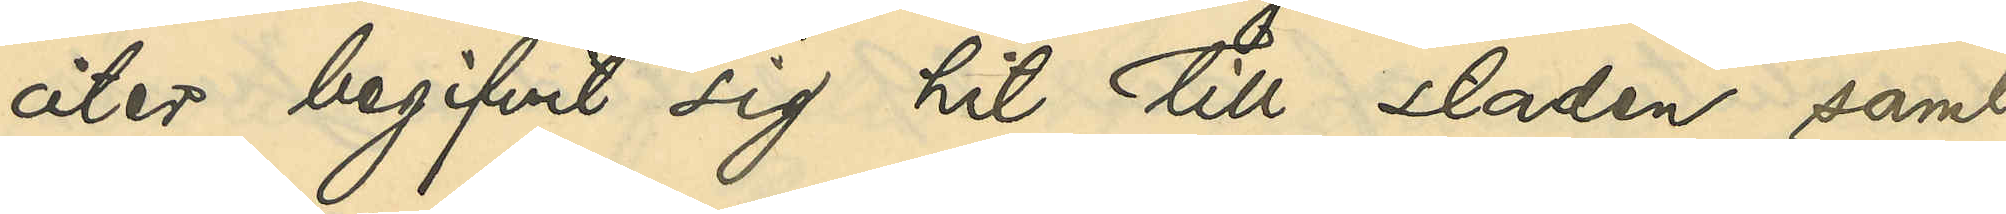åter begifvit sig hit till staden samt
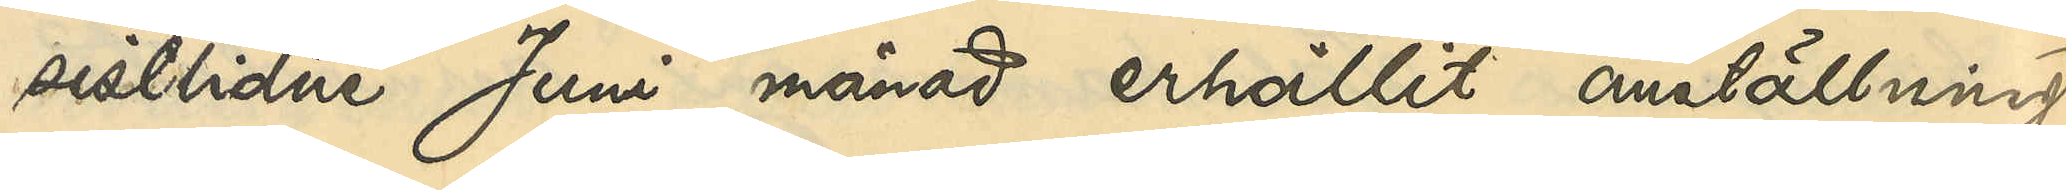sistlidne Juni månad erhållit anställning
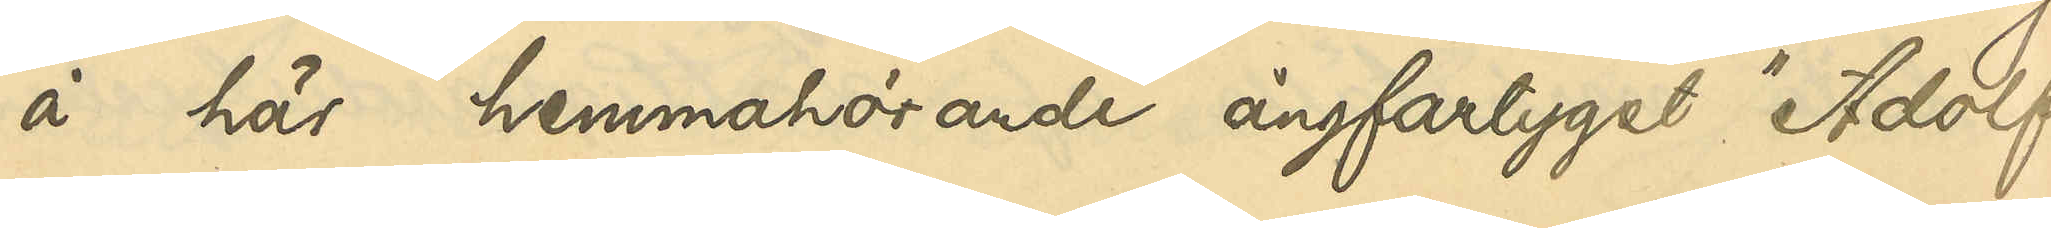å här hemmahörande ångfartyget "Adolf
